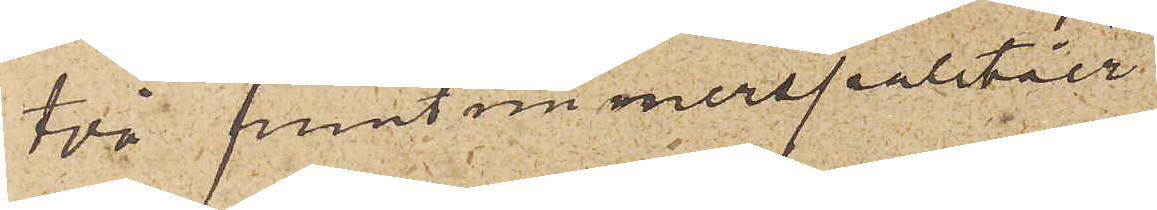två fruntimmerspaletåer
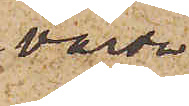värda
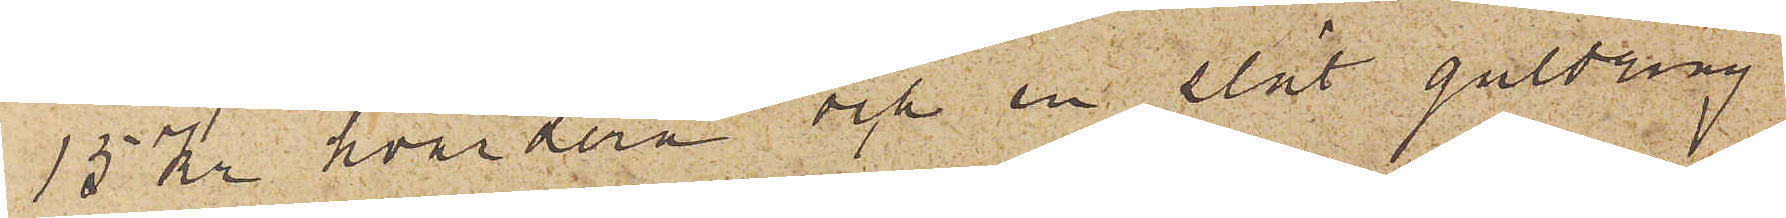15 Kr hvardera och en slät guldring
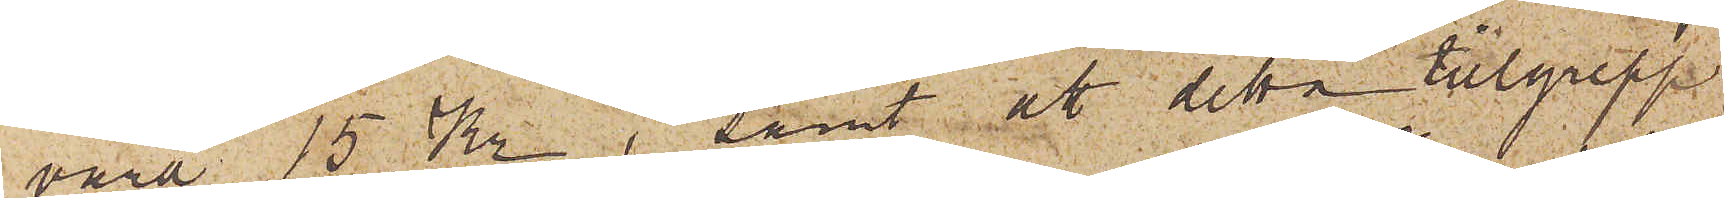värd 15 Kr, samt att detta tillgrepp
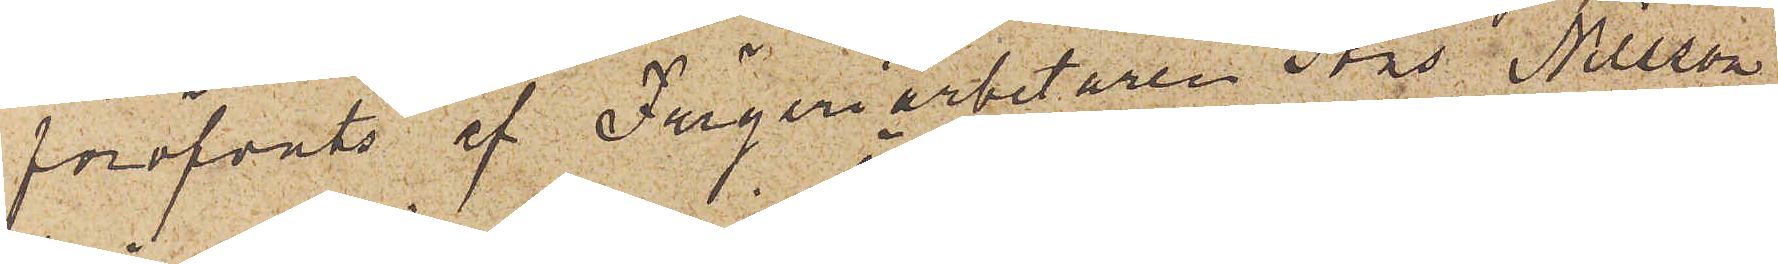föröfvats af Färgeriarbetaren Jöns Nilsson
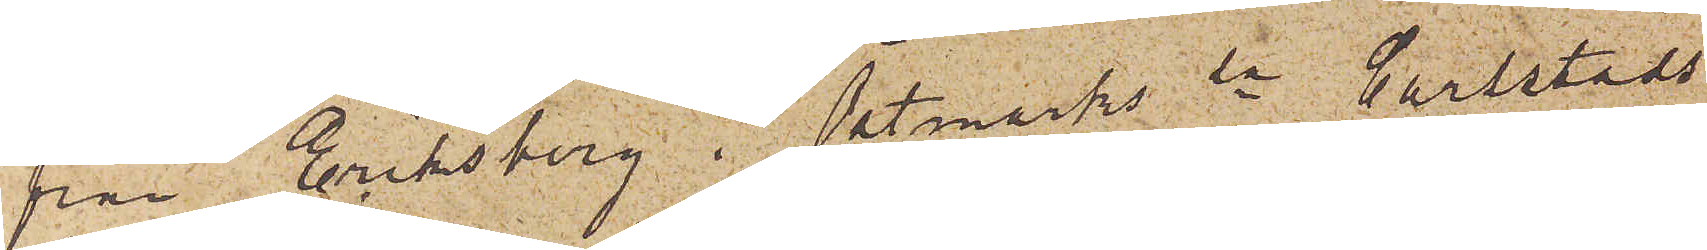från Eriksberg i Östmarks sn Carlstads
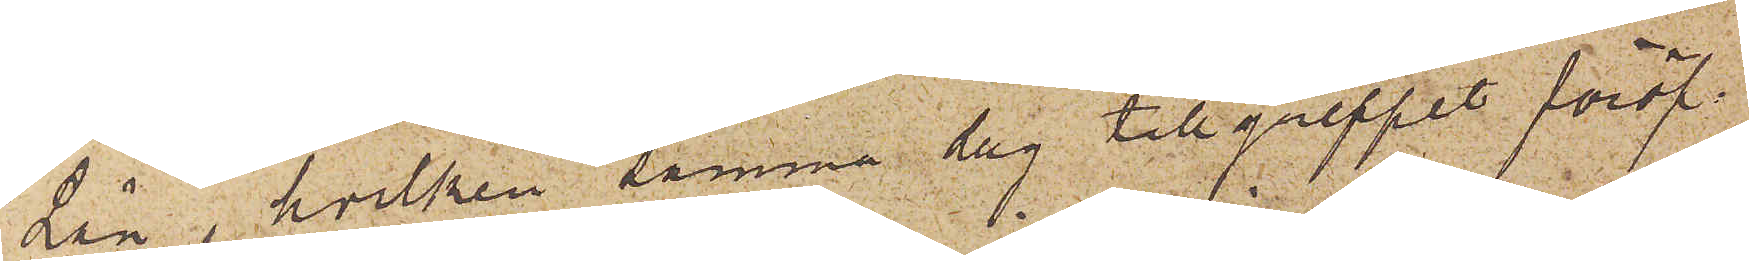Län, hvilken samma dag tillgreppet föröf¬
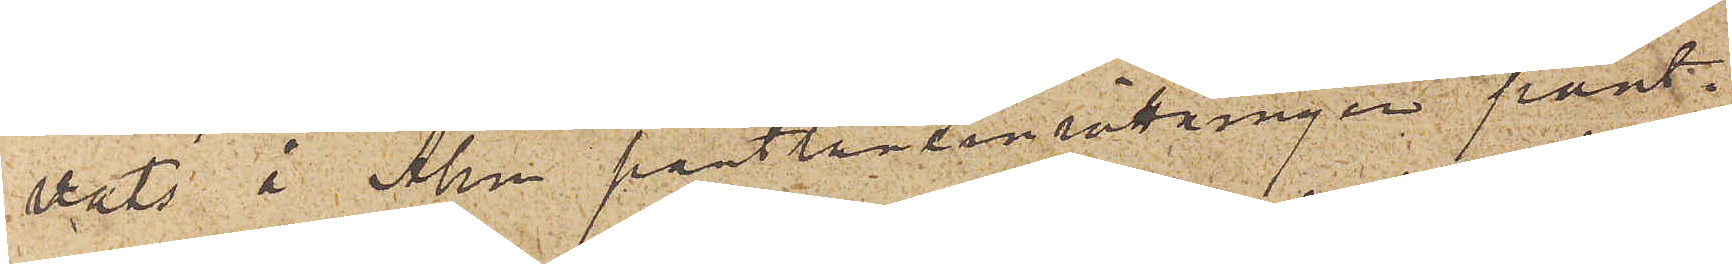vats å Allm pantlåneinrättningen pant¬
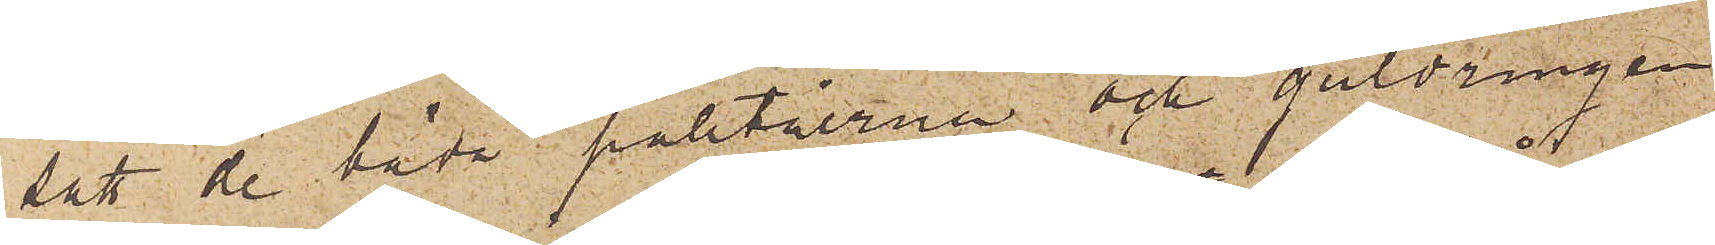satt de båda paletåerna och guldringen
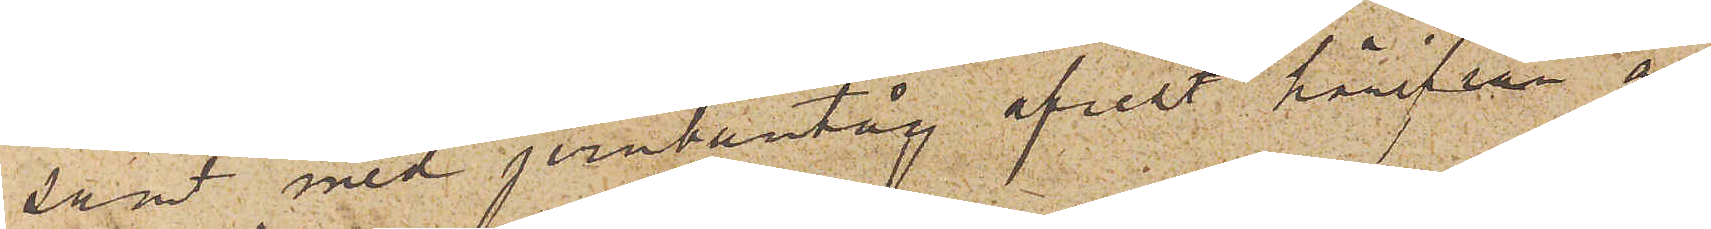samt med jernbantåg afrest härifrån an¬
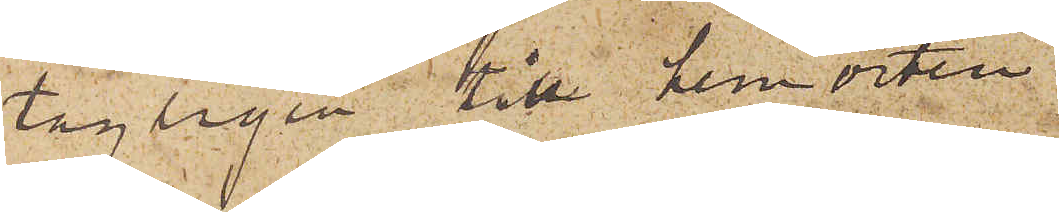tagligen till hemorten.
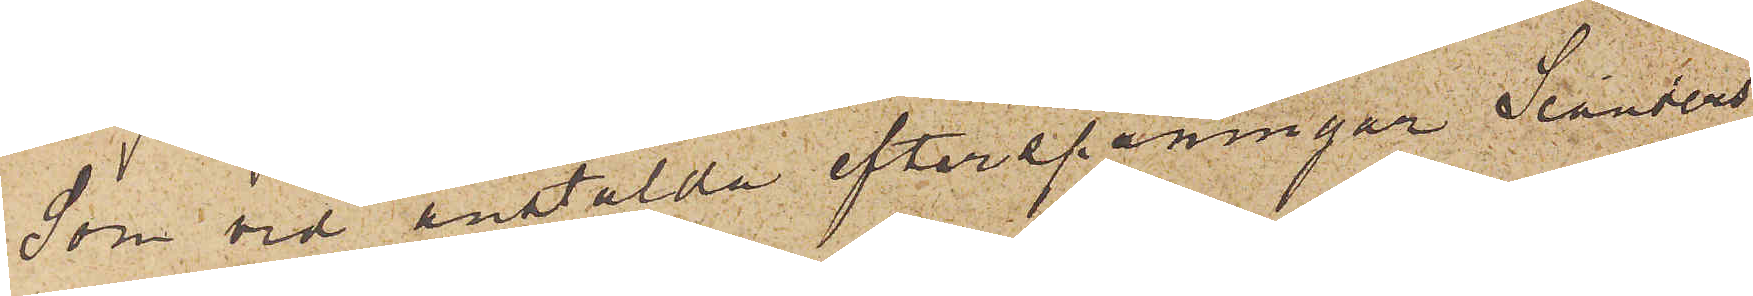Som vid anstälda efterspaningar Seanders
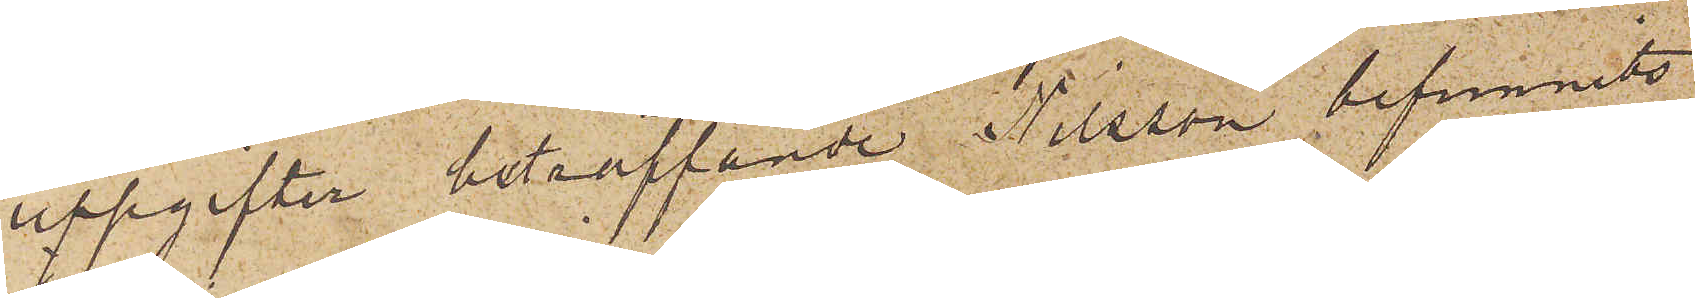uppgifter beträffande Nilsson befunnits
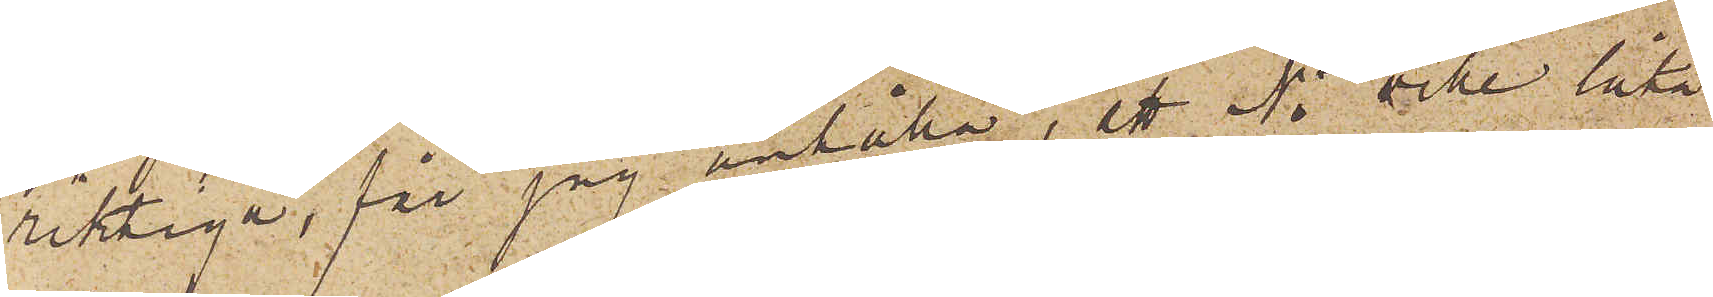riktiga, får jag anställa, ett Ni ville låta
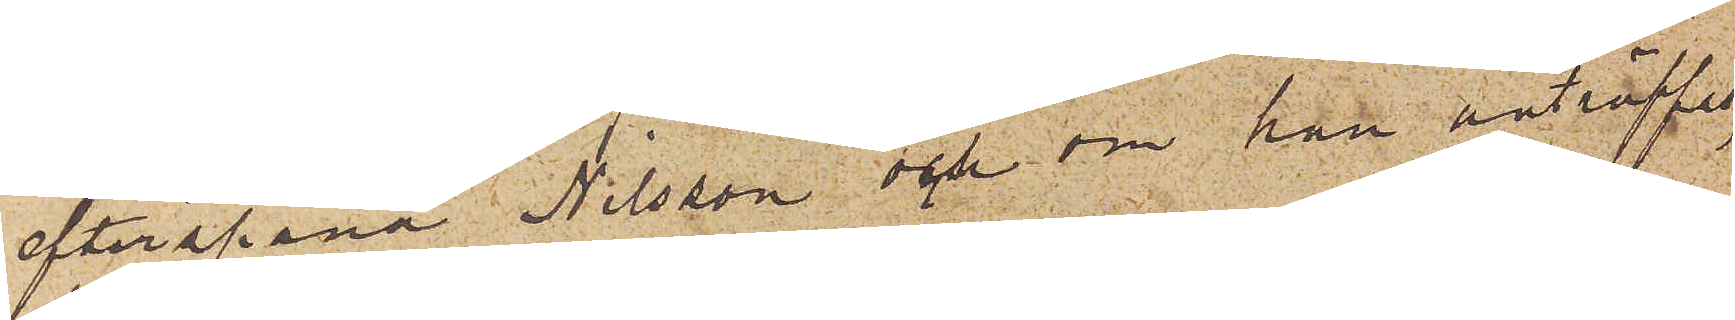efterspana Nilsson och om han anträffas,
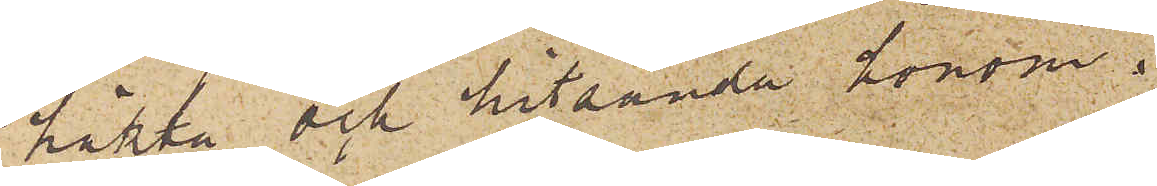häkta och hitsända honom.
